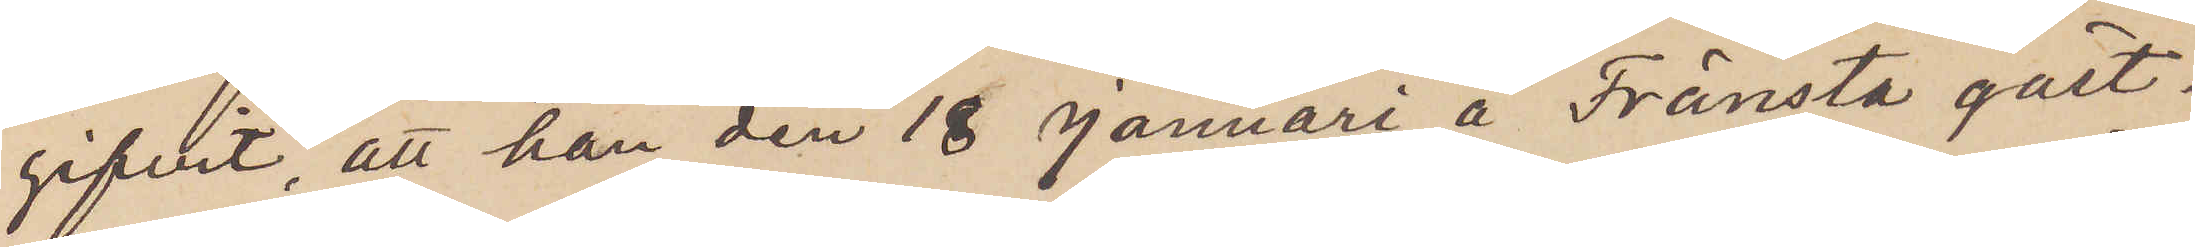gifvit, att han den 18 Januari å Fränsta gäst¬
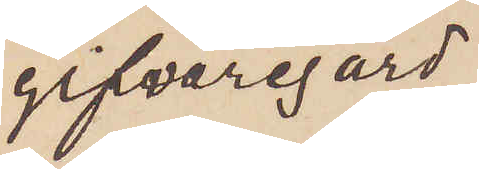gifvaregård
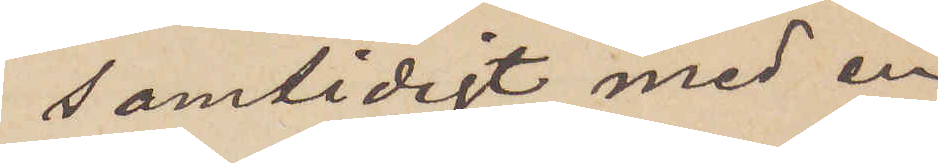samtidigt med en
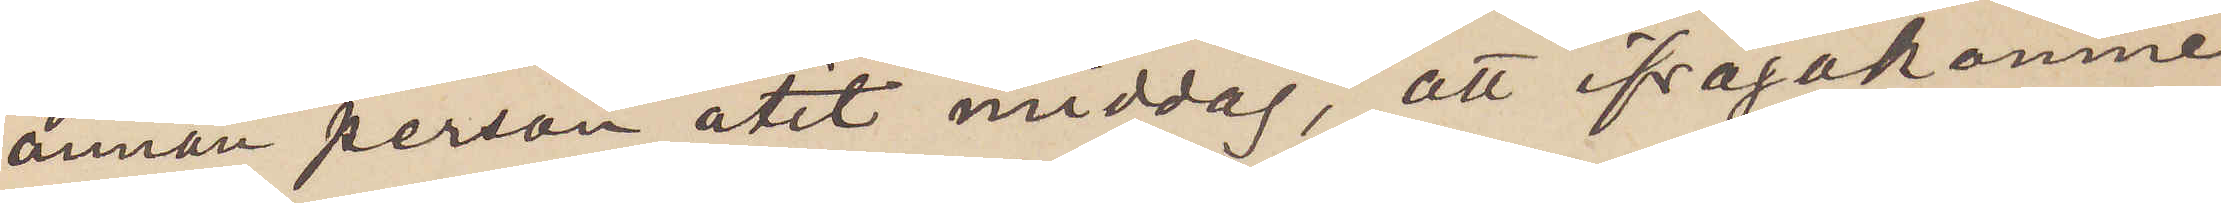annan person ätit middag; att ifrågakomne
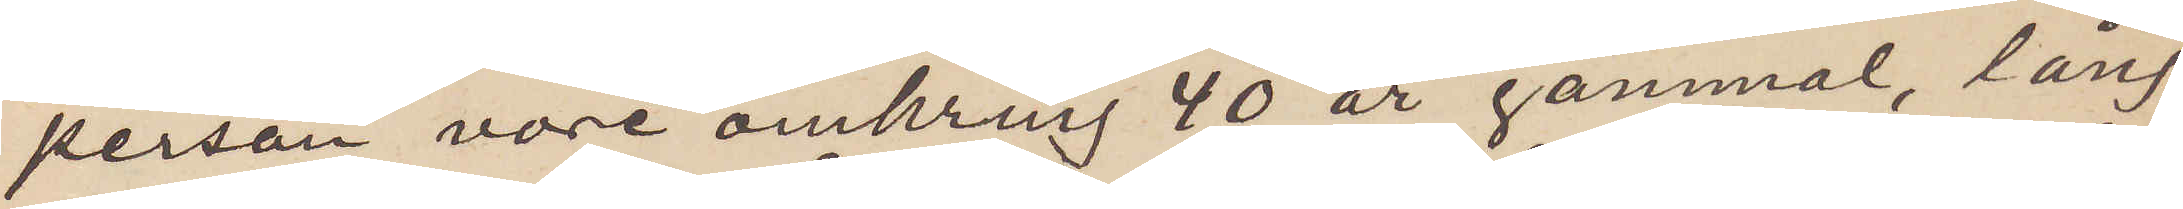person vore omkring 40 år gammal, lång
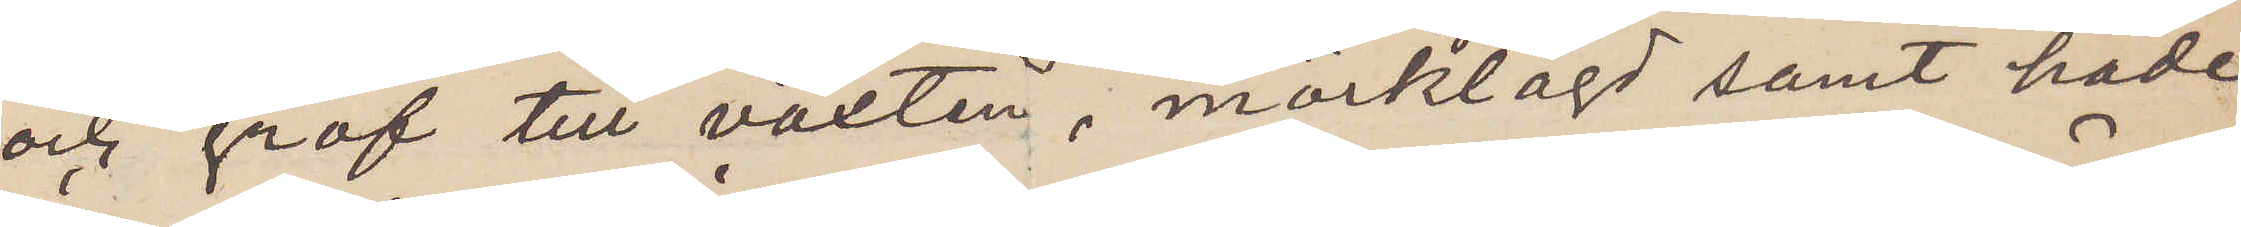och grof till växten, mörklagd samt hade
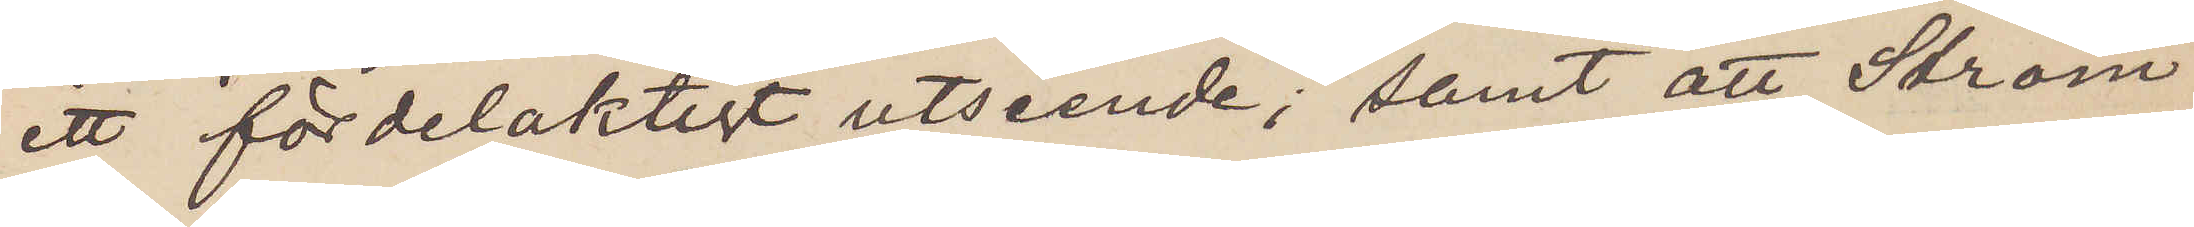ett fördelaktigt utseende; samt att Ström
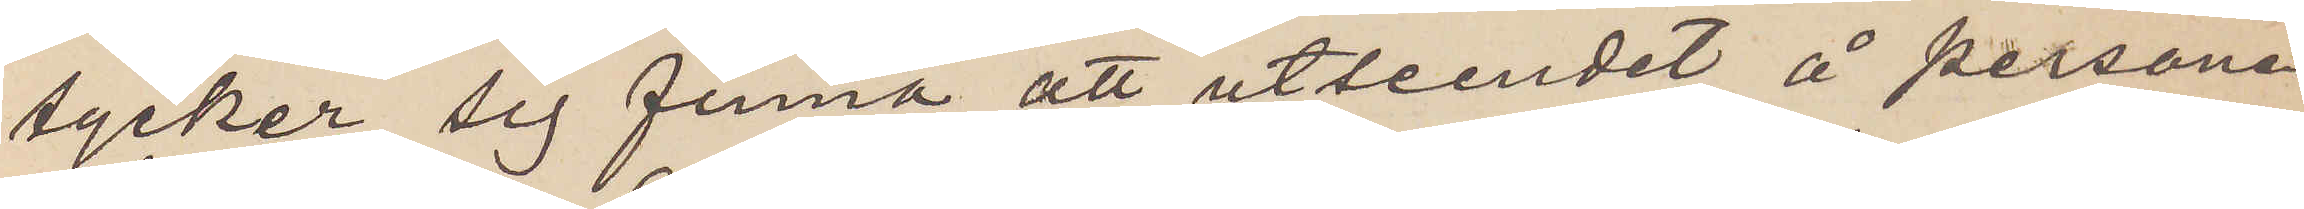tycker sig finna att utseendet å personen
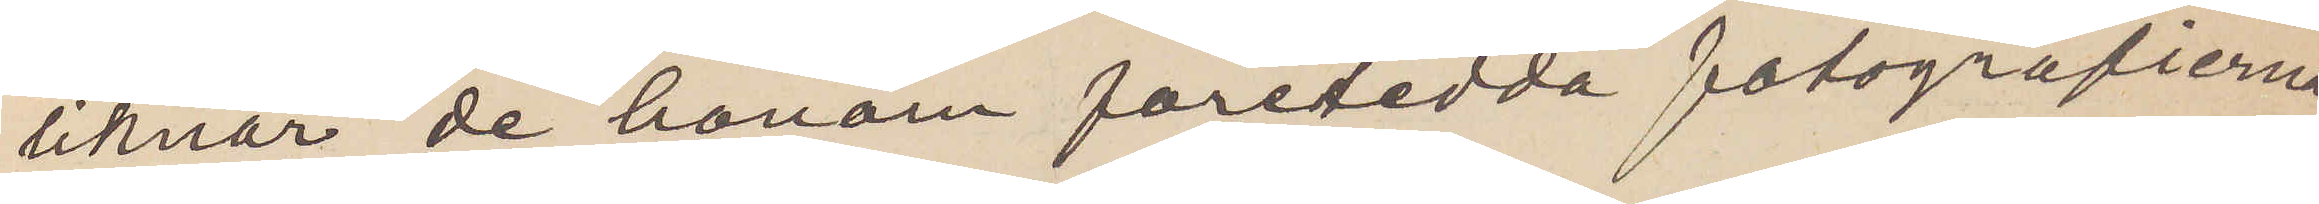liknar de honom företedda fotografierna.
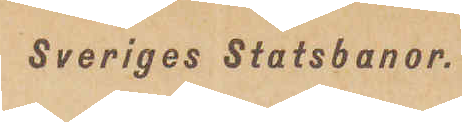Sveriges Statsbanor.
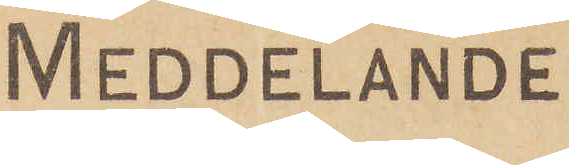Meddelande
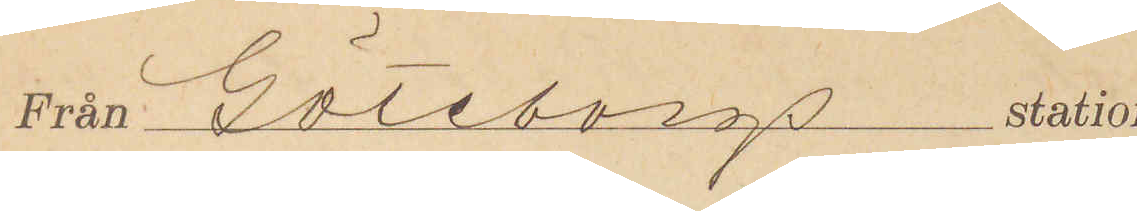Från Göteborgs station
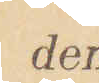den
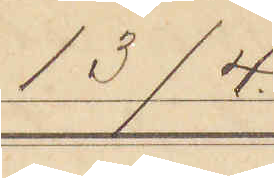13/4
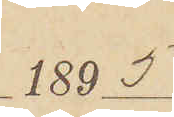1895
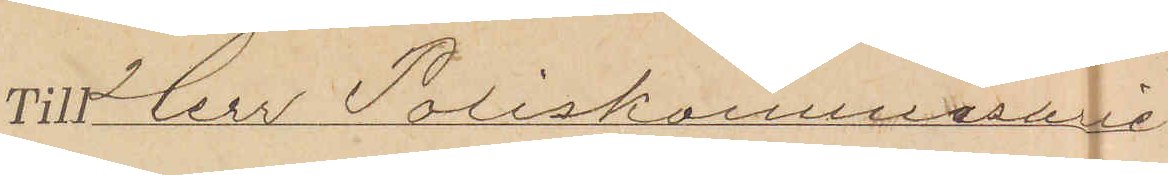Till Herr Poliskommissarie
